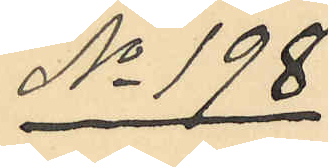No 198
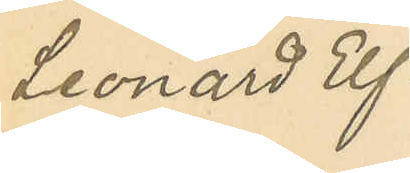Leonard Elf¬
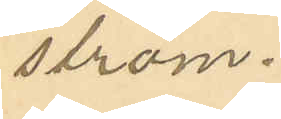ström.
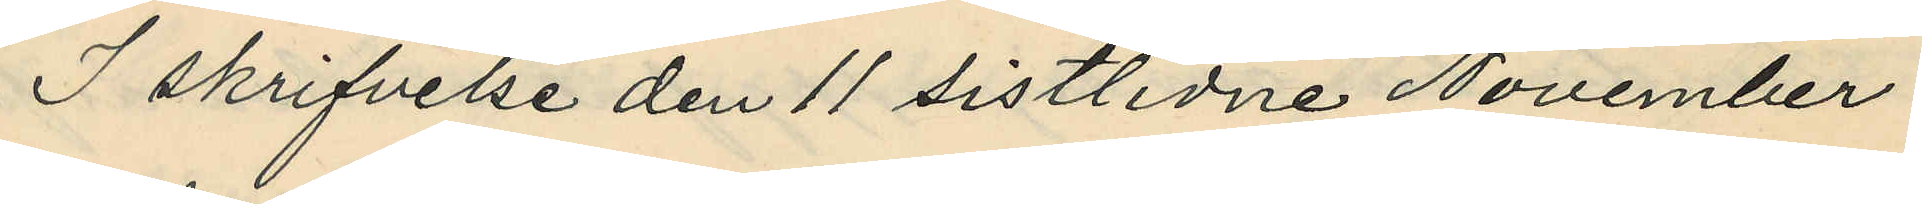I skrifvelse den 11 sistlidne November
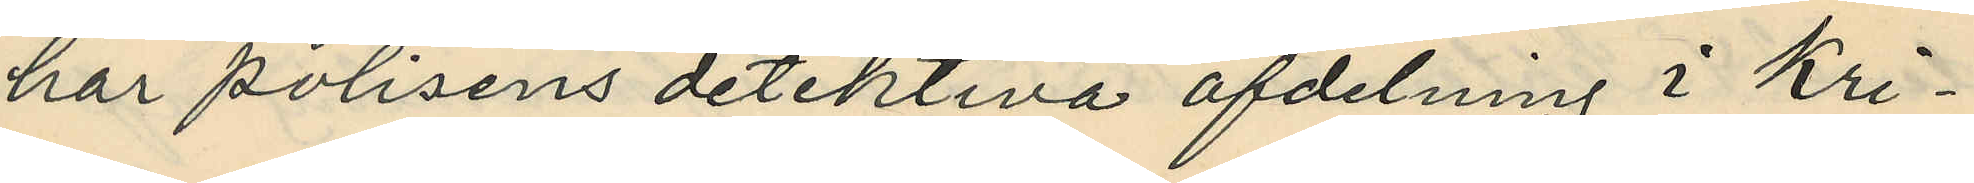har polisens detektiva afdelning i Kri¬
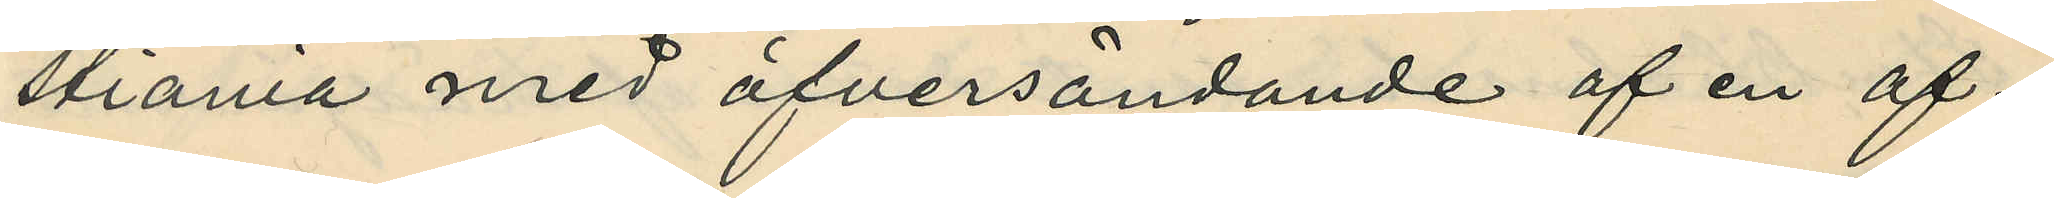stiania med öfversändande af en af¬
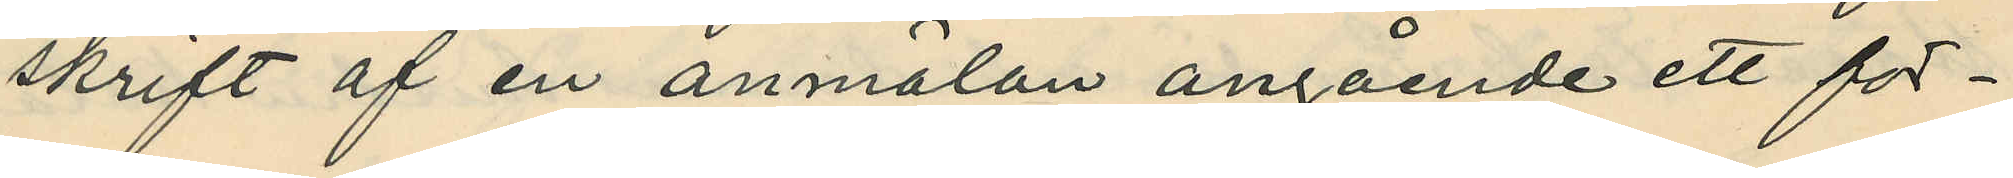skrift af en anmälan angående ett för¬
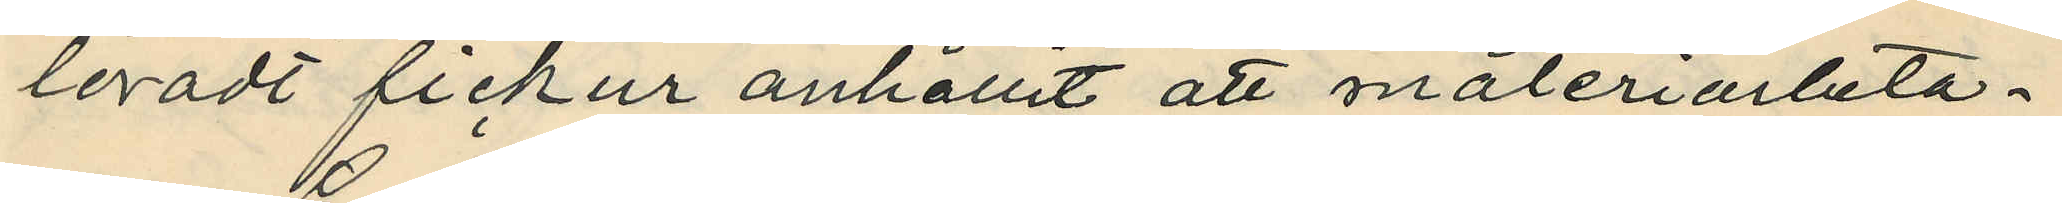loradt fickur anhållit att måleriarbeta¬
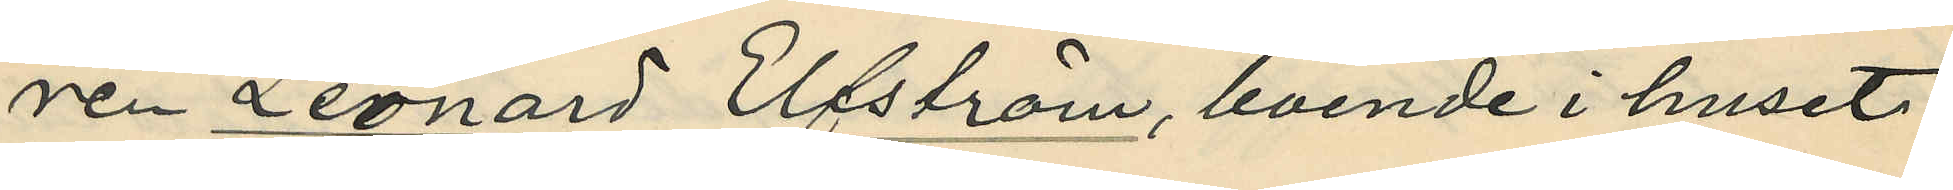ren Leonard Elfström, boende i huset
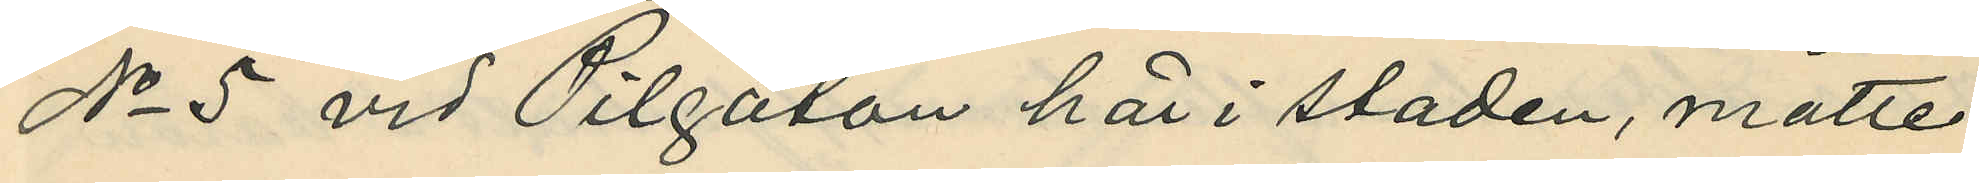No 5 vid Pilgatan här i staden, måtte
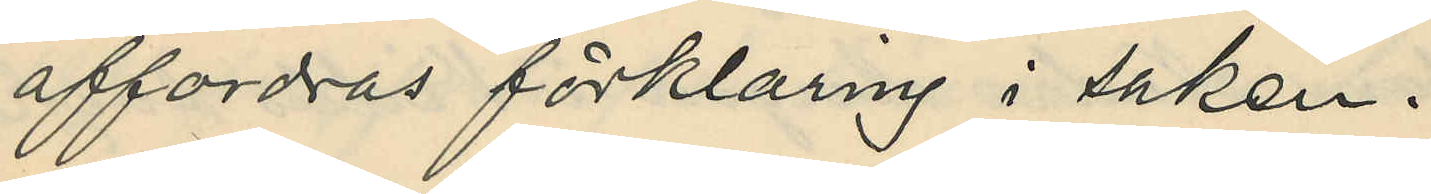affordras förklaring i saken.
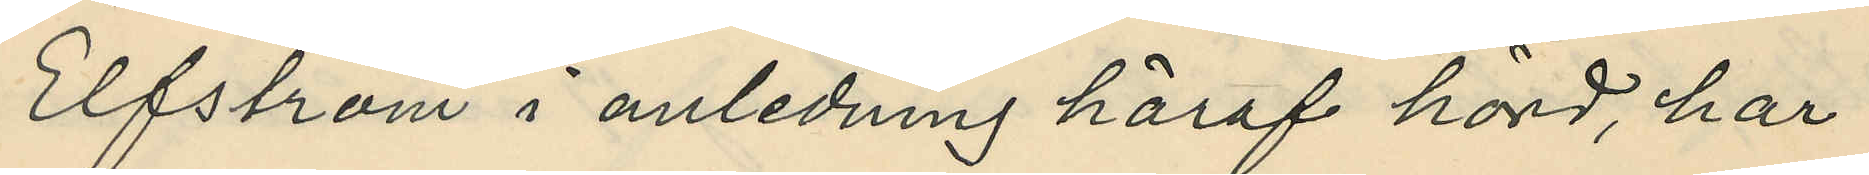Elfström i anledning häraf hörd, har
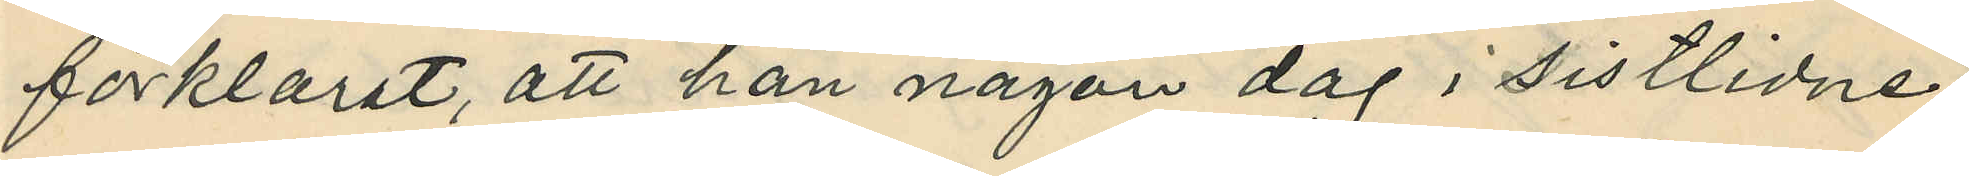förklarat, att han någon dag i sistlidne
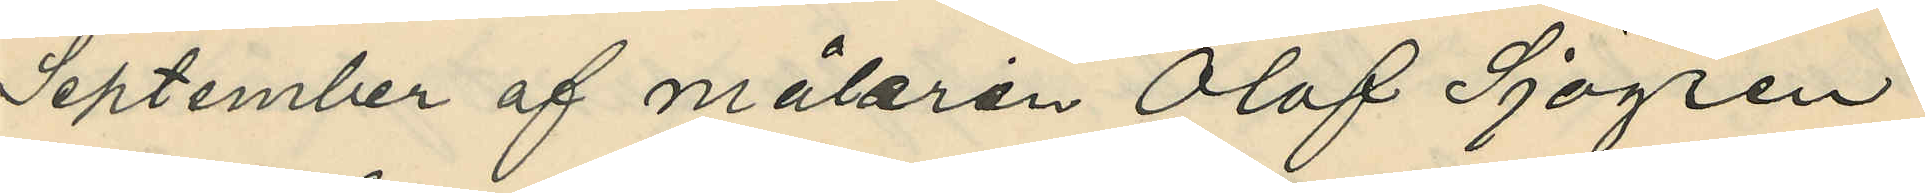September af målaren Olof Sjögren
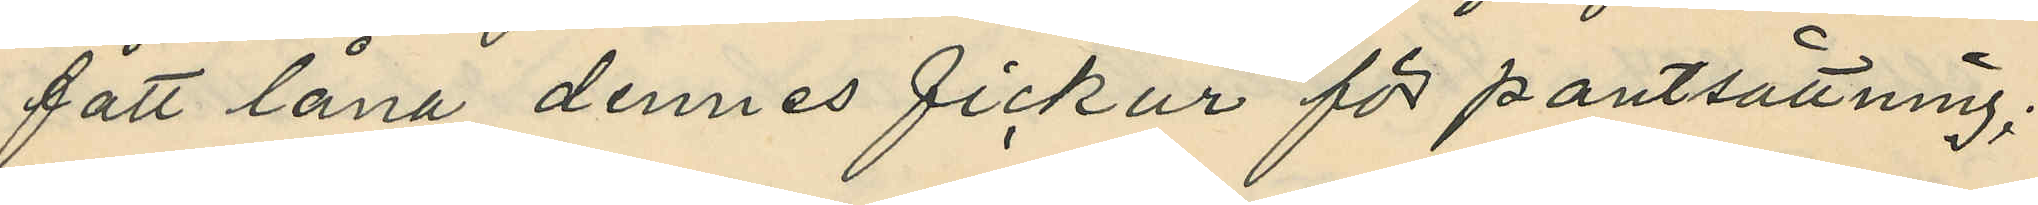fått låna dennes fickur för pantsättning;
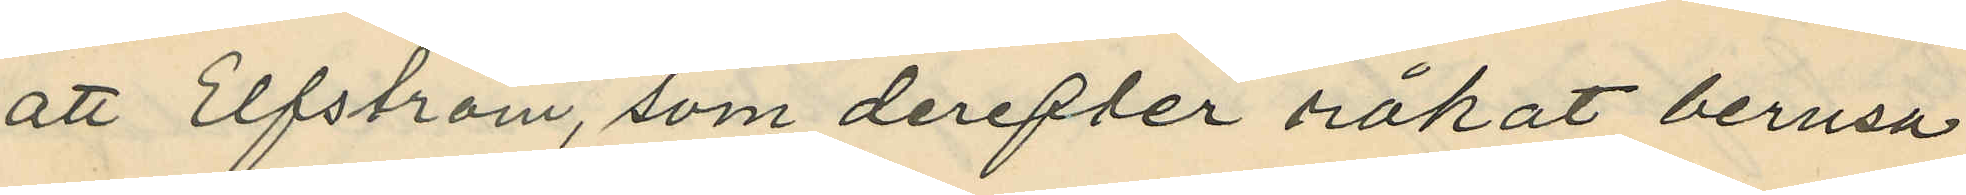att Elfström, som derefter råkat berusa
